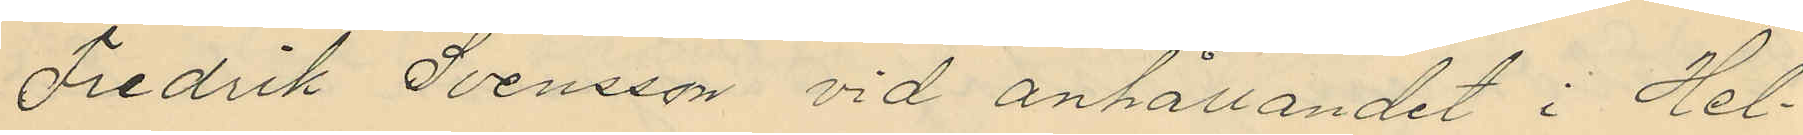Fredrik Svensson vid anhållandet i Hel¬
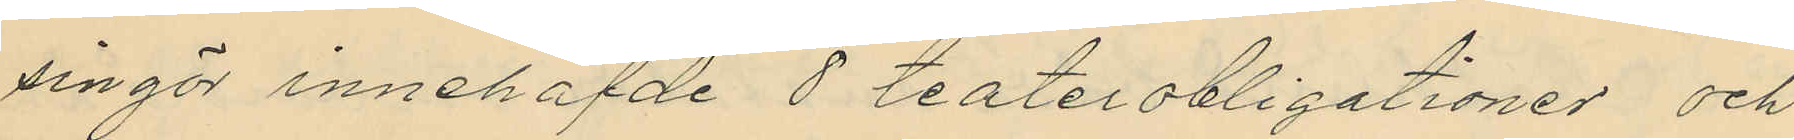singör innehafde 8 teaterobligationer och
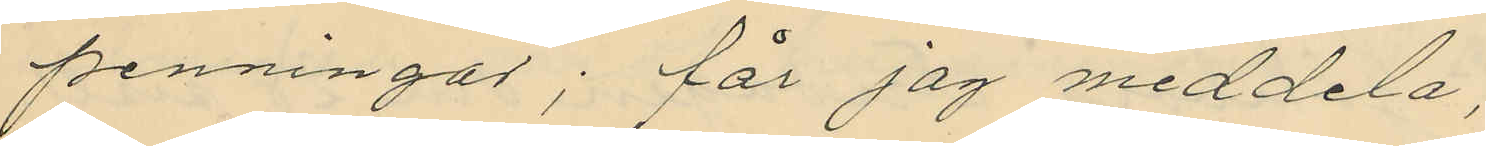penningar; får jag meddela,
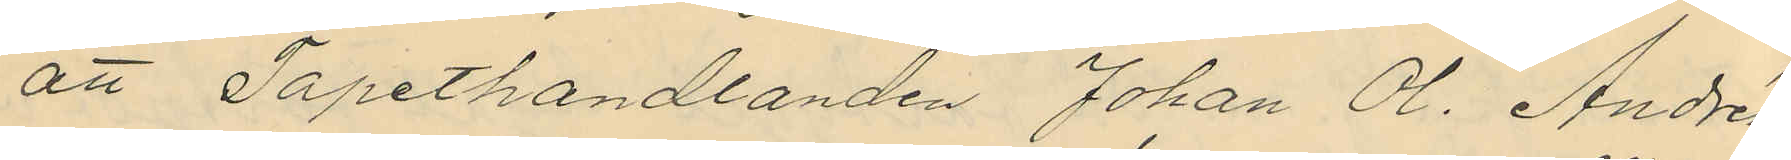att Tapethandlanden Johan Ol. Andrén,
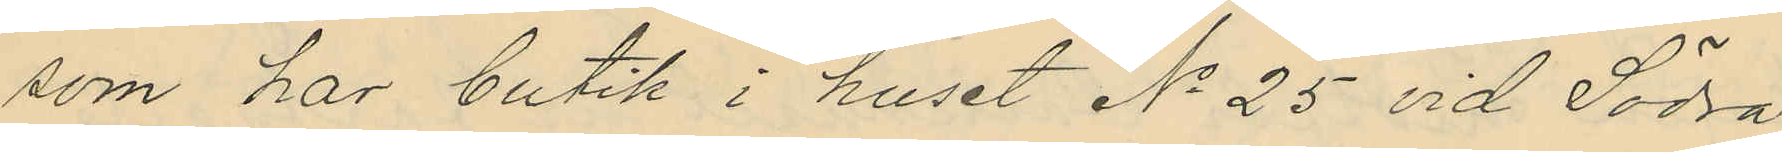som har butik i huset No 25 vid Södra
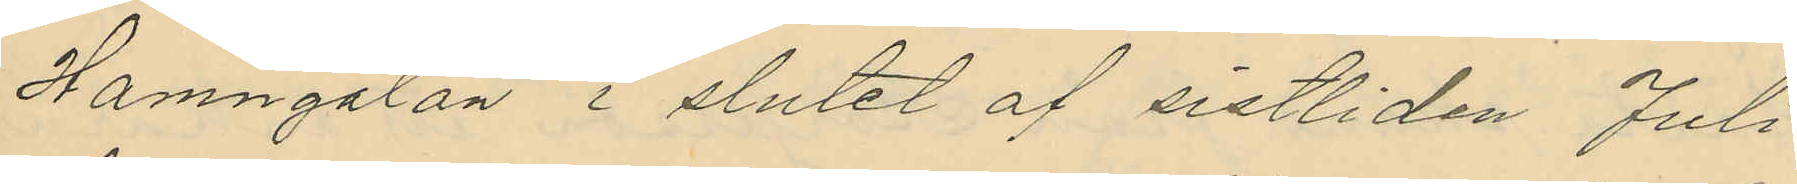Hamngatan i slutet af sistliden Juli
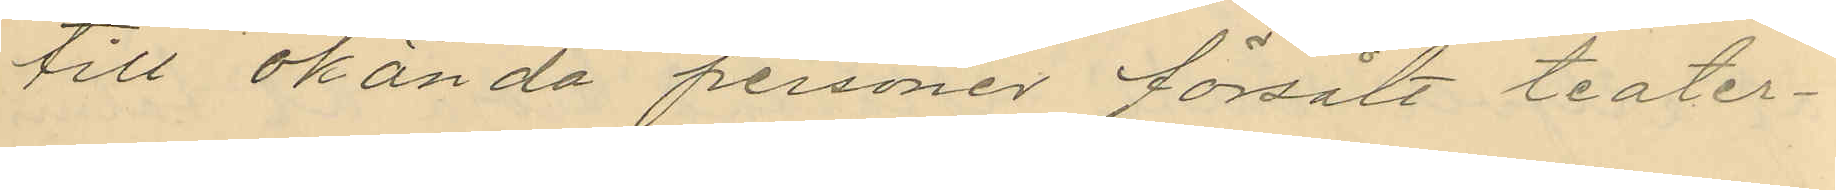till okända personer försålt teater¬
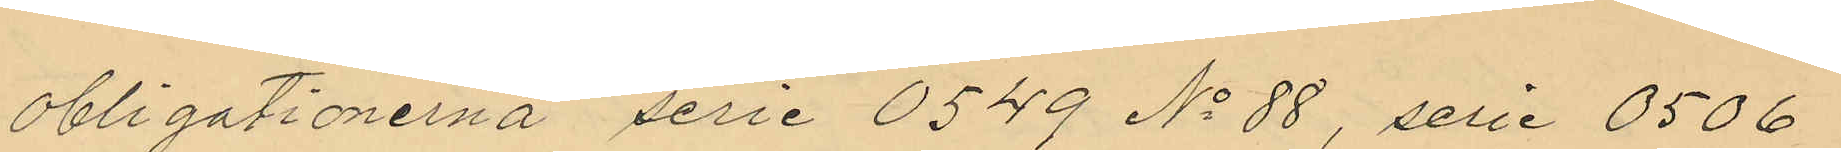obligationerna serie 0549 No 88, serie 0506
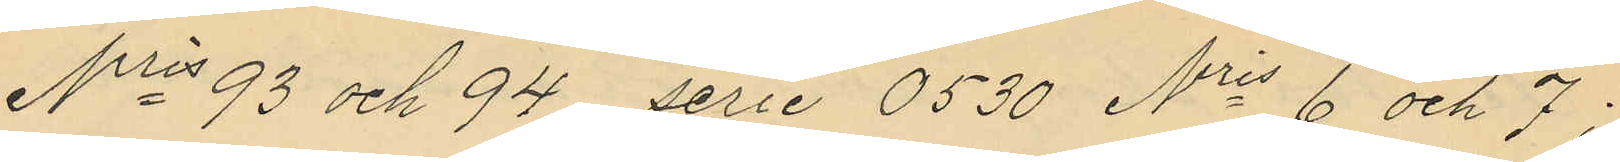Nris 93 och 94 serie 0530 Nris 6 och 7;
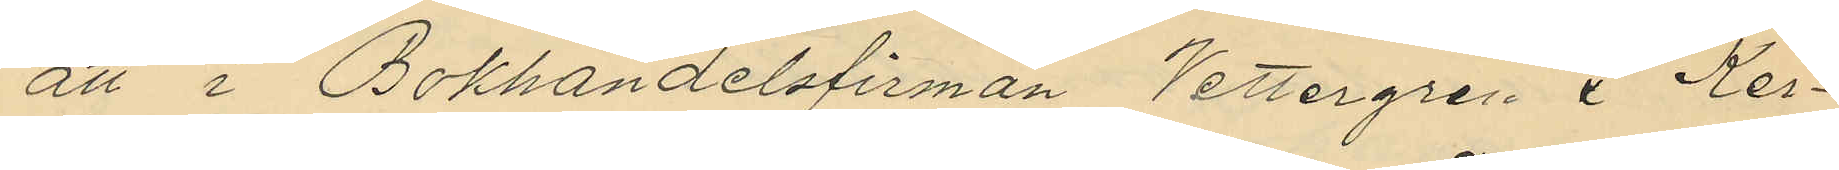att i Bokhandelsfirman Vettergren & Ker¬
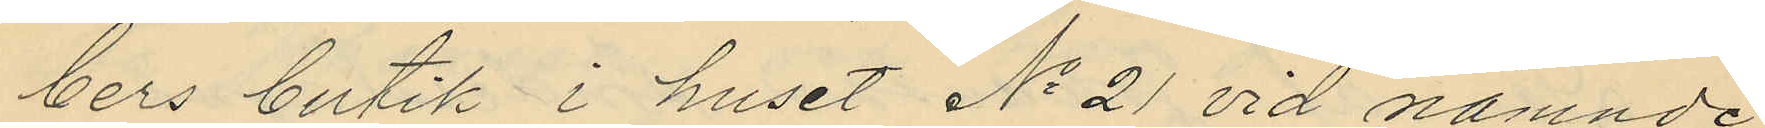bers butik i huset No 21 vid nämnde
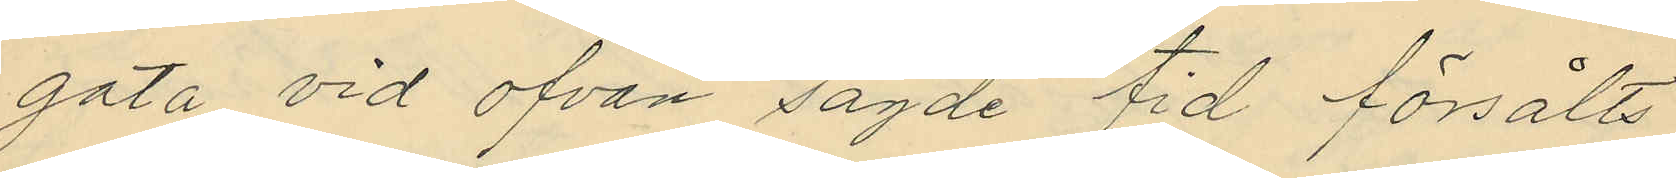gata vid ofvan sagde tid försålts
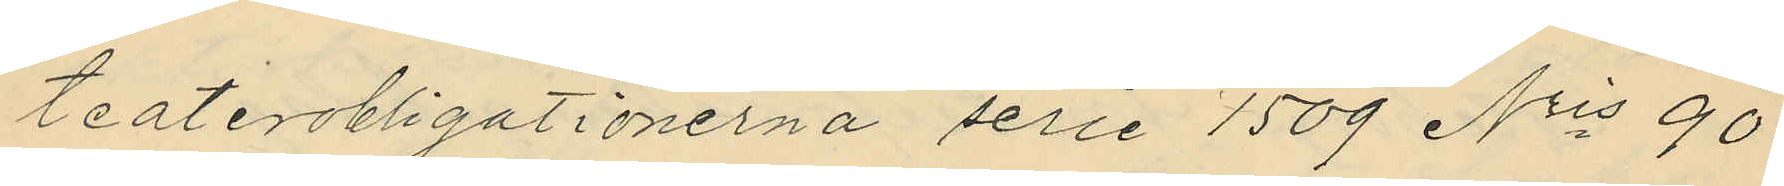teaterobligationerna serie 1509 Nris 90
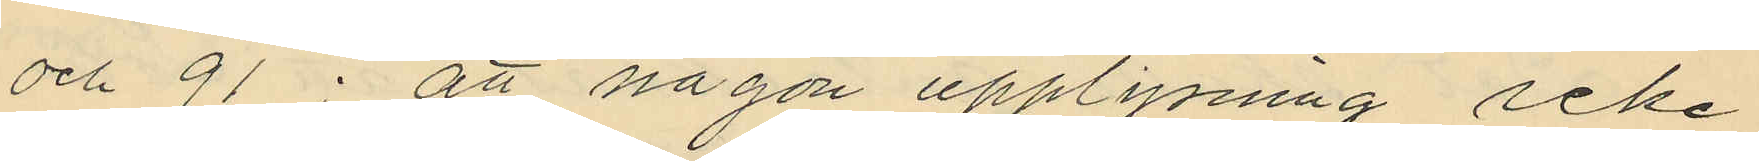och 91; att någon upplysning icke
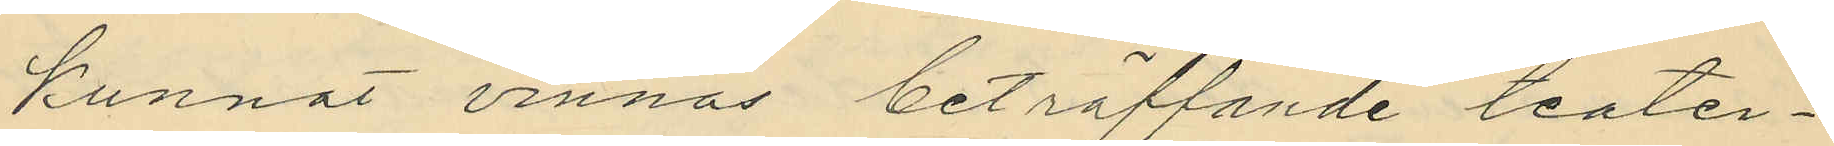kunnat vinnas beträffande teater¬
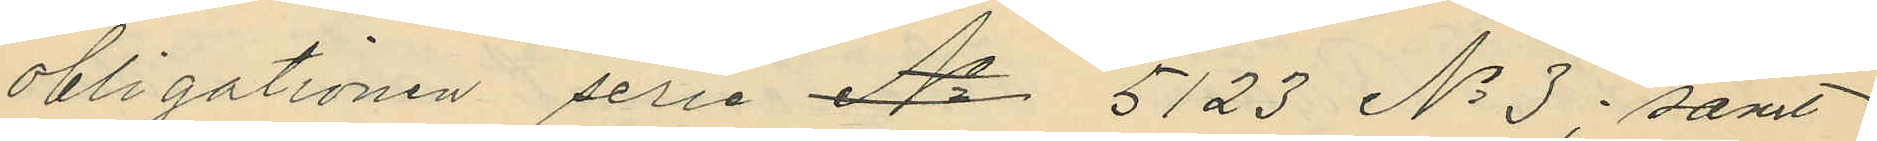obligationen serie No 5123 No 3; samt
